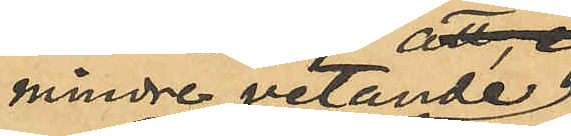mindre vetande
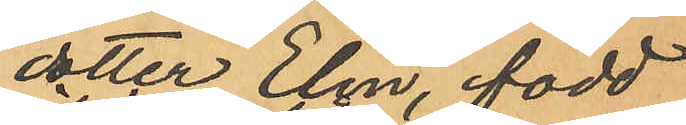dotter Elin, född
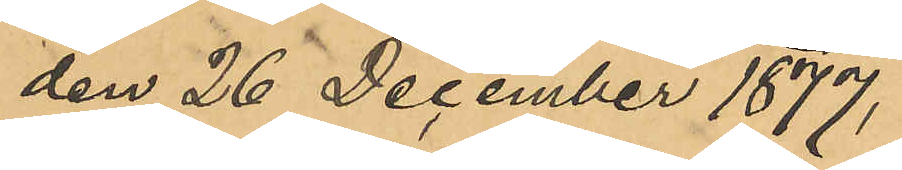den 26 December 1877,
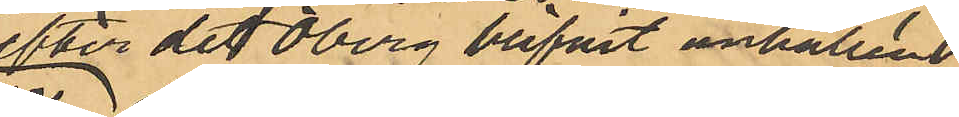efter det Öberg blifvit anhållen
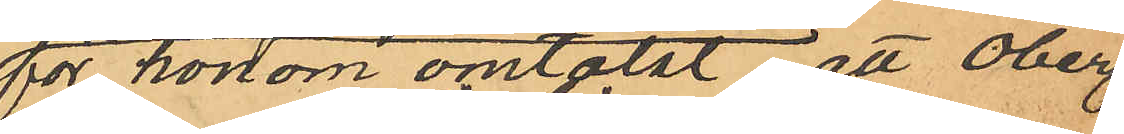för honom omtalat, att Öberg
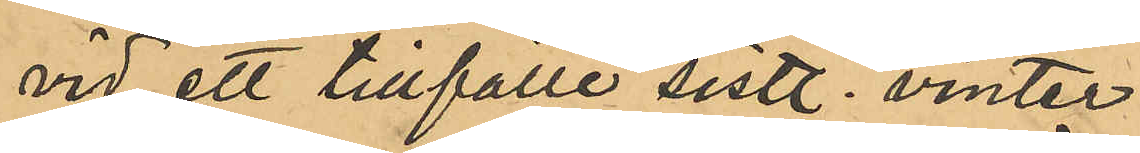vid ett tillfälle sistl. vinter
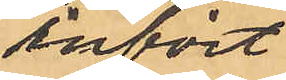infört
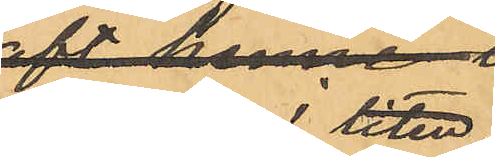henne i liten
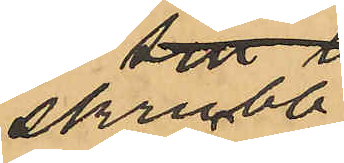skrubb
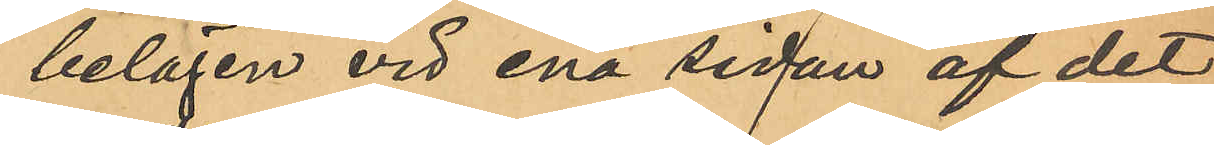belägen vid ena sedan af det
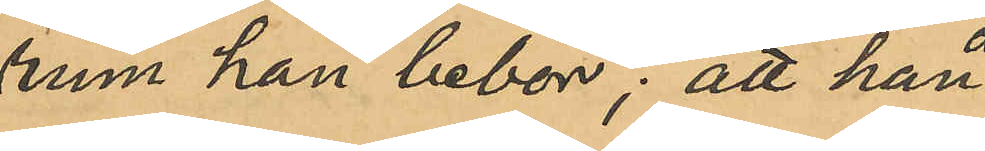rum han bebor; att han
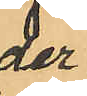der
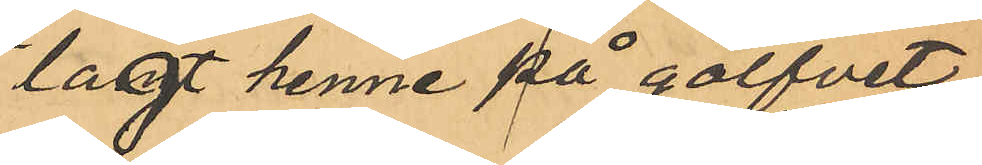lagt henne på golfvet
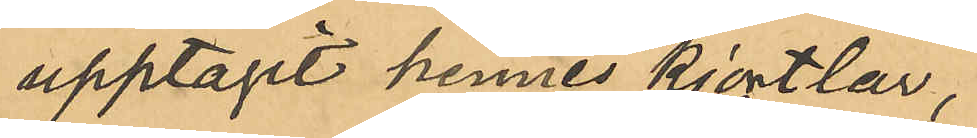upptagit hennes kjortlar,
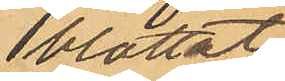blottat
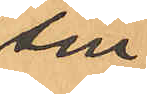sin
